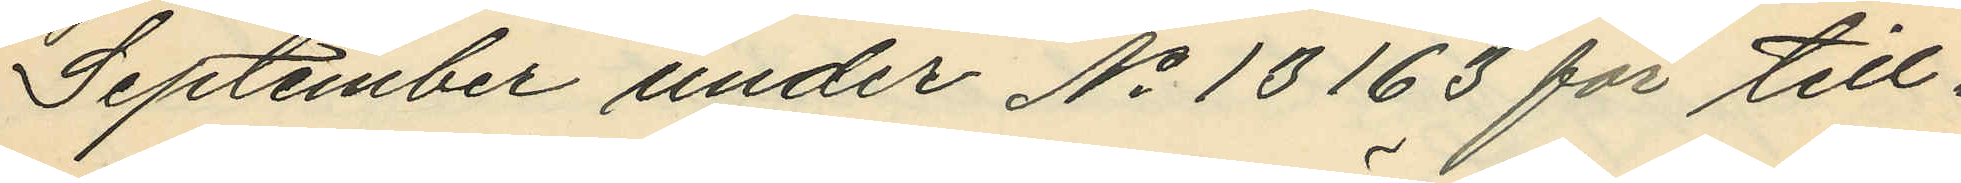September under No 13163 för till¬
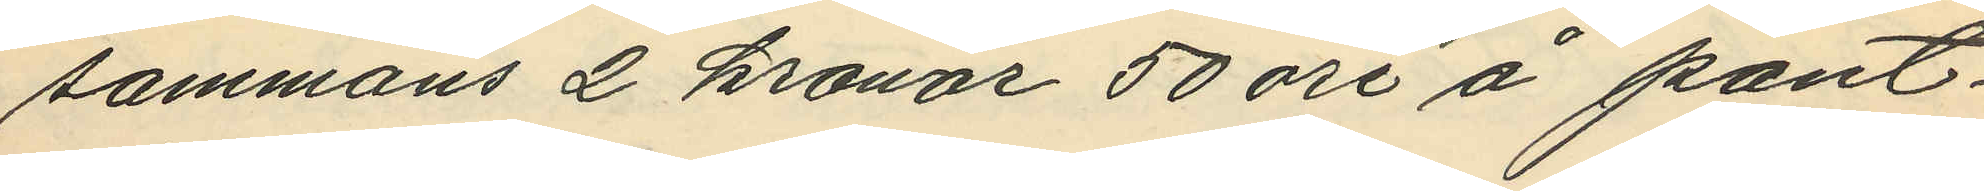sammans 2 kronor 50 öre å pant¬
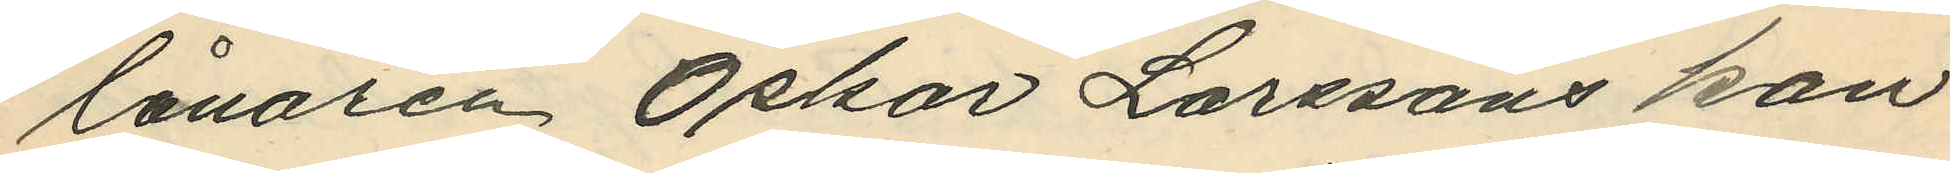lånaren Oskar Larssons kon¬
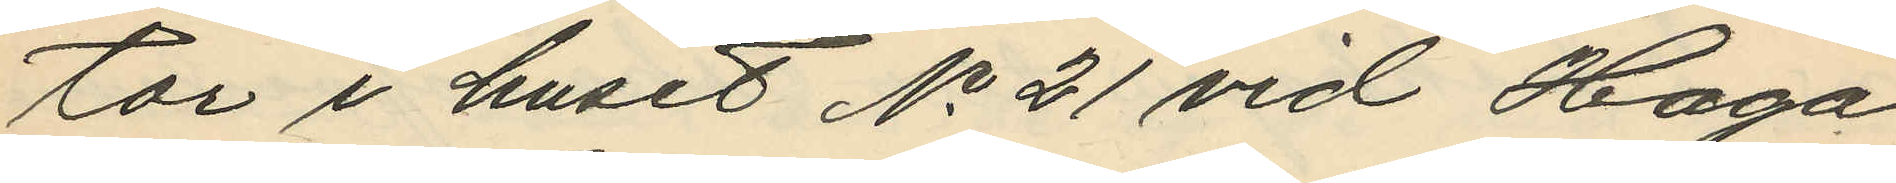tor i huset No 21 vid Haga
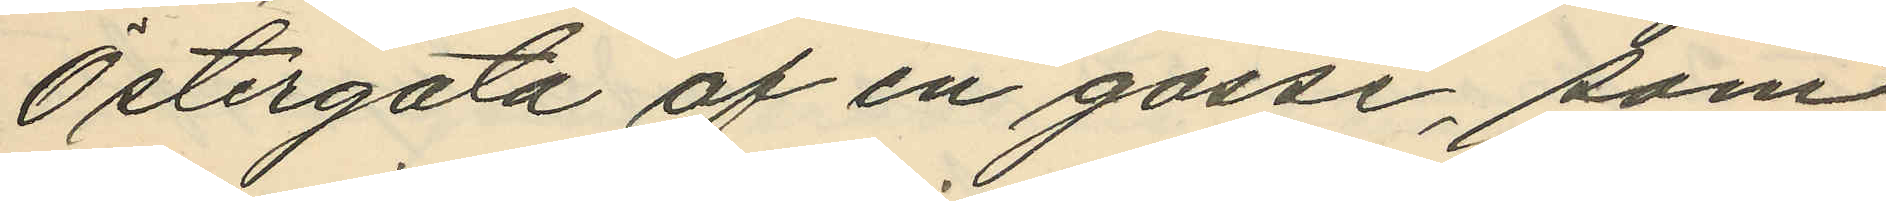Östergata af en gosse, som
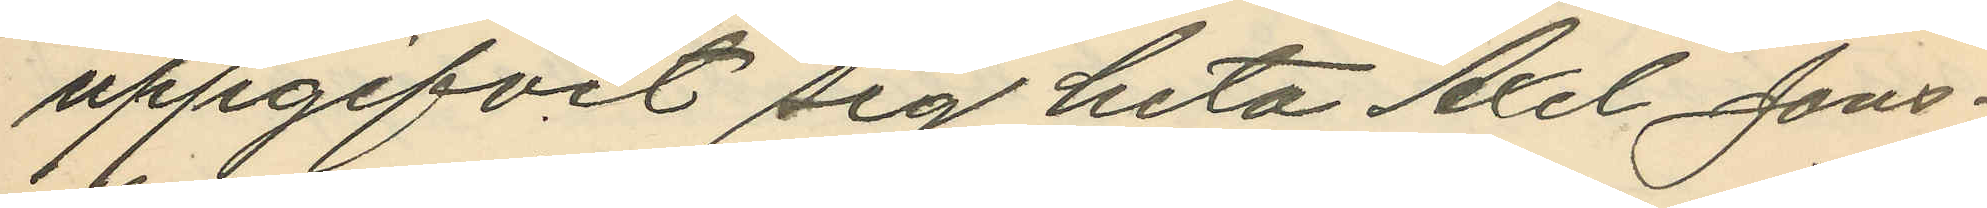uppgifvit sig heta Axel Jons¬
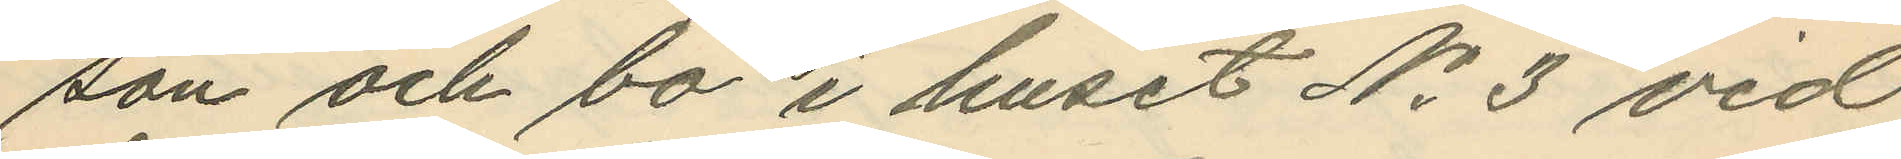son och bo i huset No 3 vid
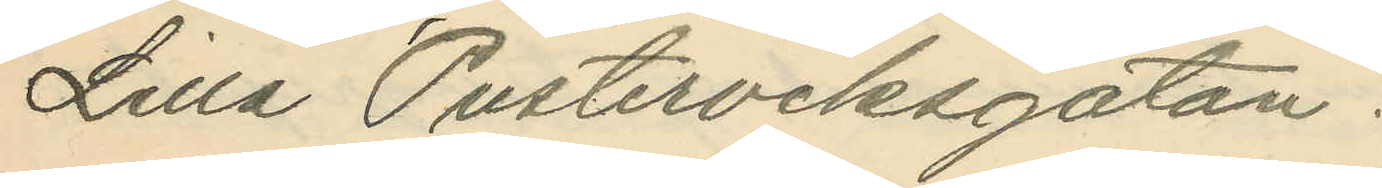Lilla Pusterviksgatan:
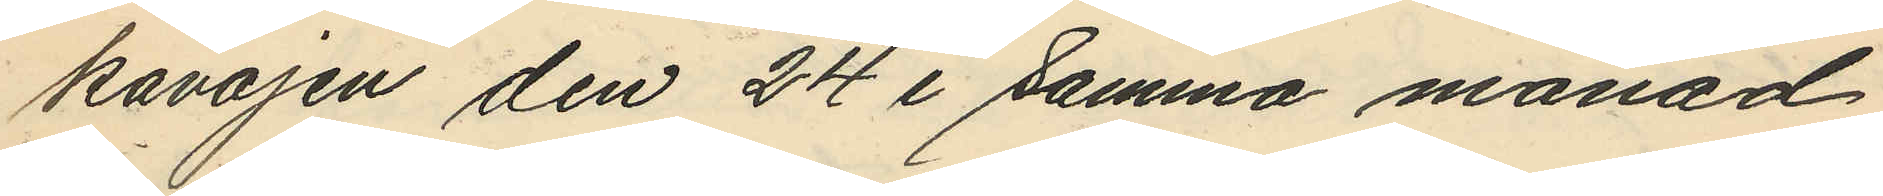kavajen den 24 i samma månad
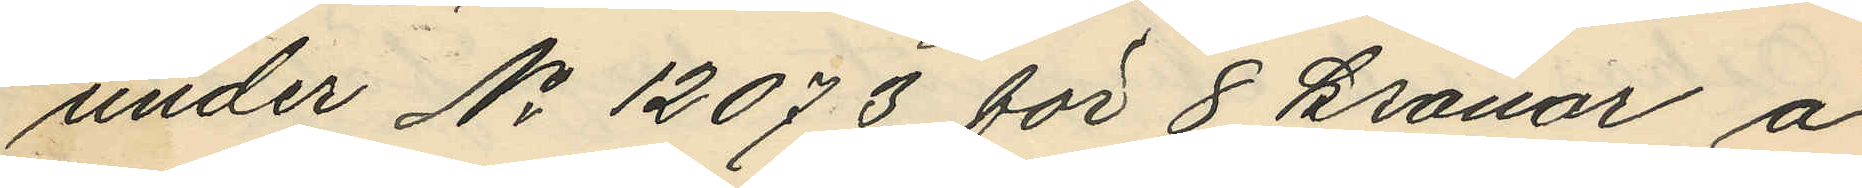under No 12073 för 8 kronor å
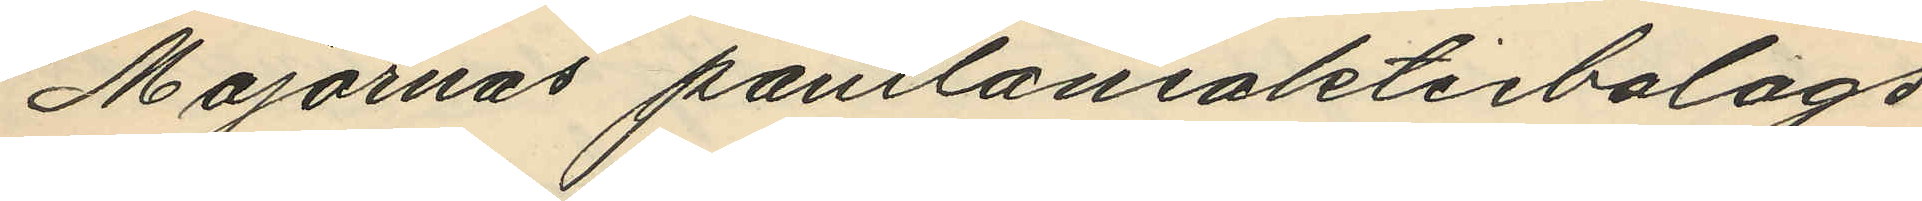Majornas pantlåneaktiebolags
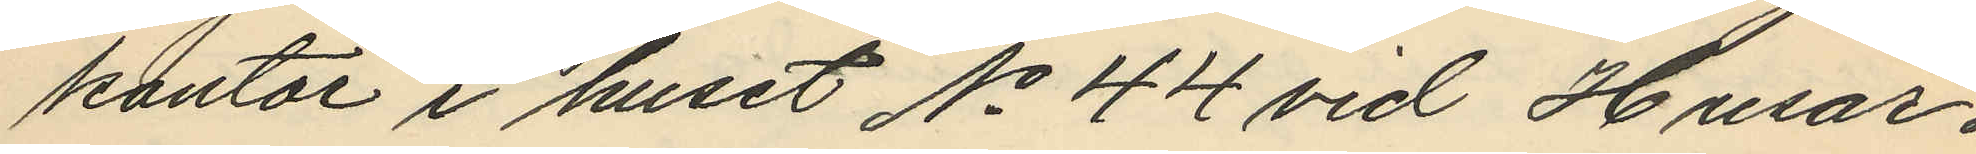kontor i huset No 44 vid Husar¬
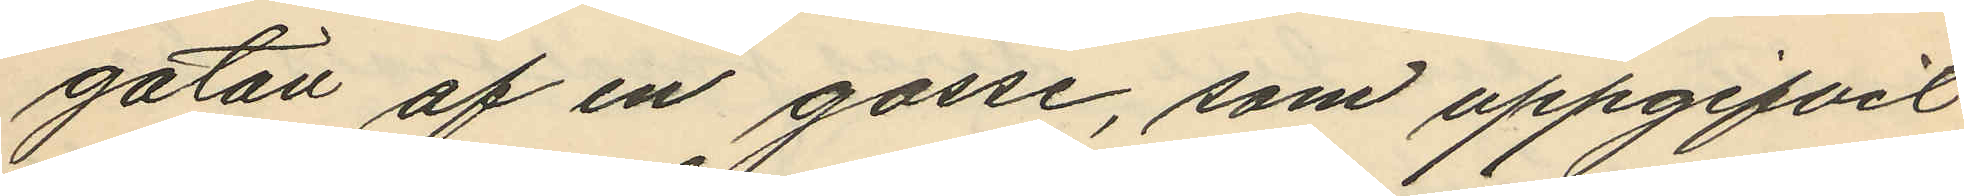gatan af en gosse, som uppgifvit
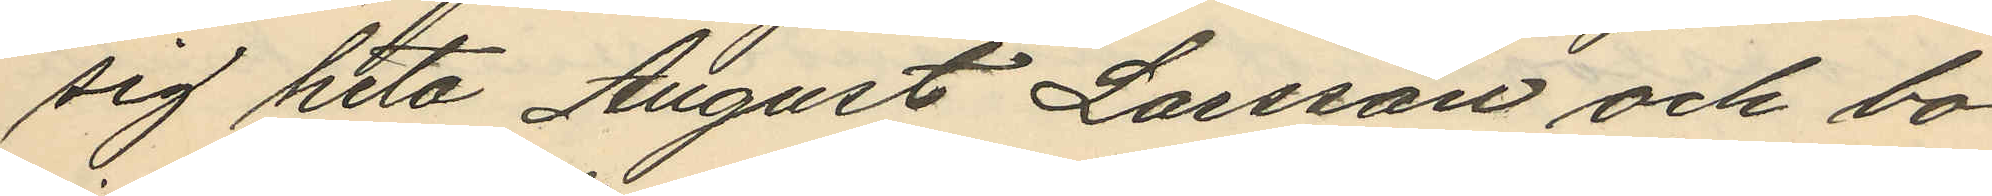sig heta August Larsson och bo
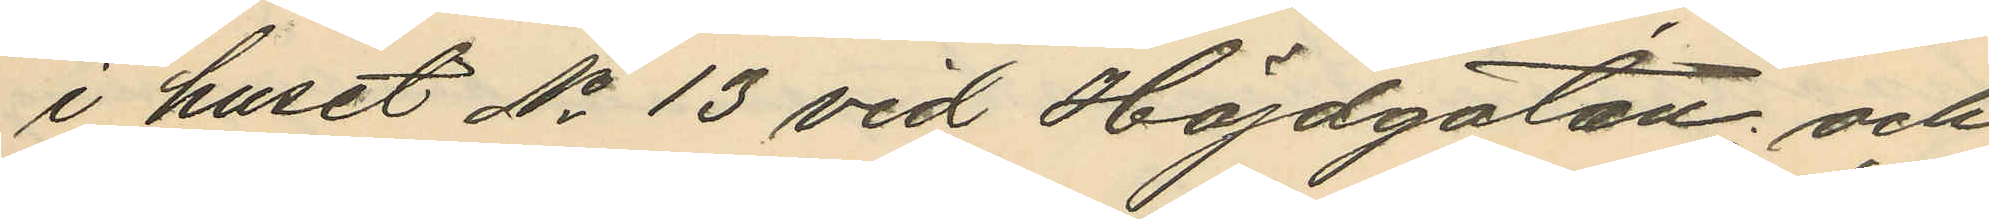i huset No 13 vid Höjdgatan; och
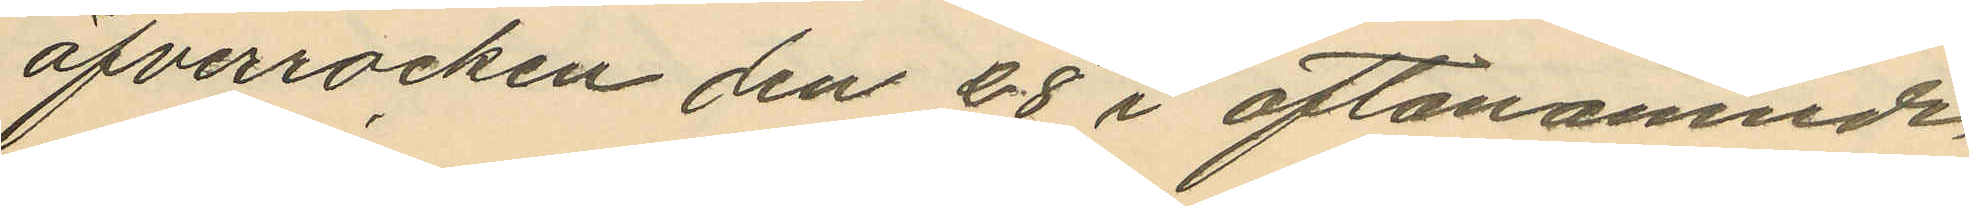öfverrocken den 28 i oftanämnde
